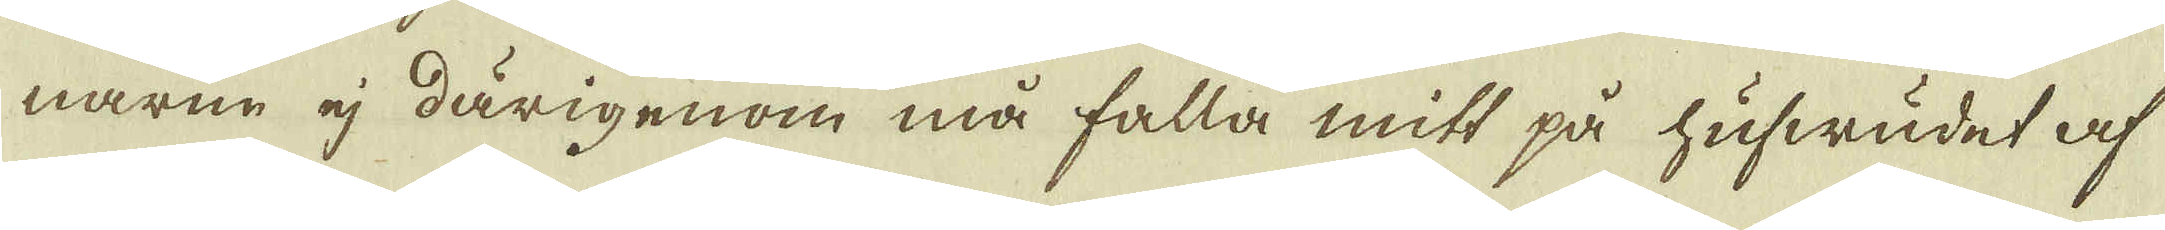narne ej därigenom må falla mitt på hufwudet af
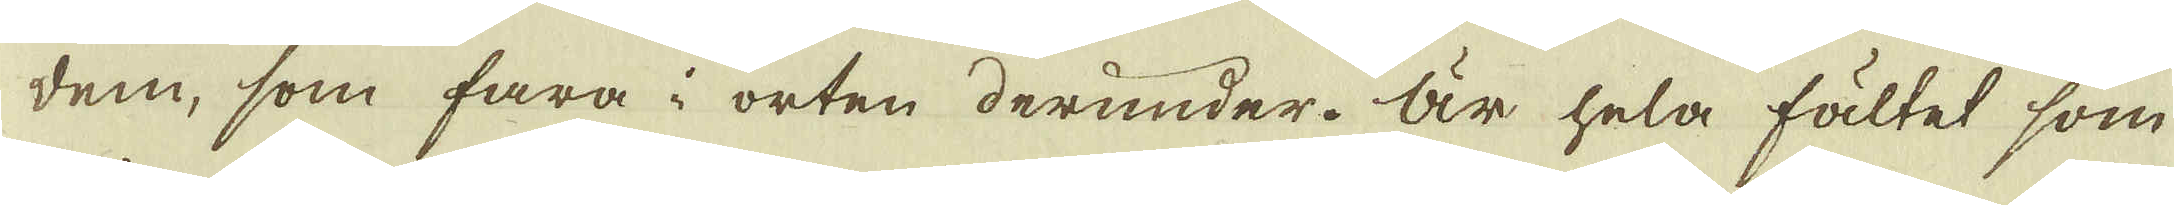dem, som fara i orten derunder. Är hela fältet som
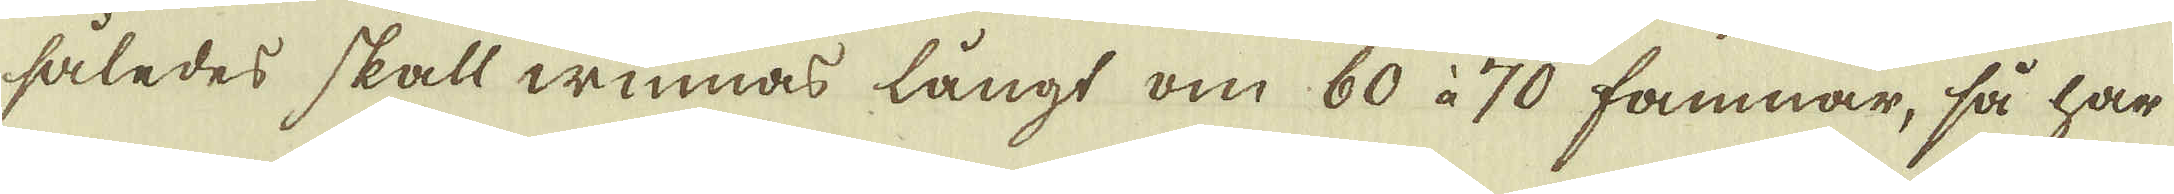således skall winnas långt om 60 à 70 famnar, så har
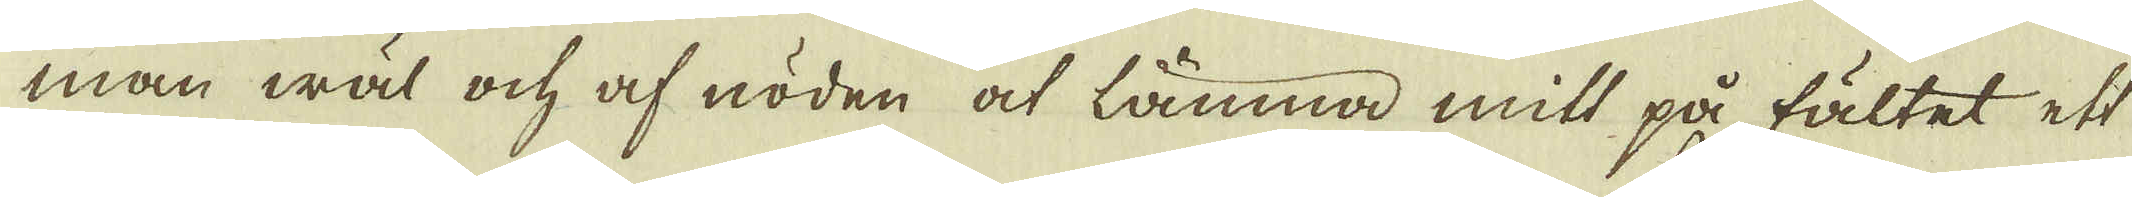man wal och af nöden at lämna mitt på fältet ett
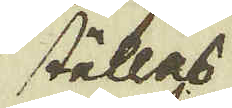ställes
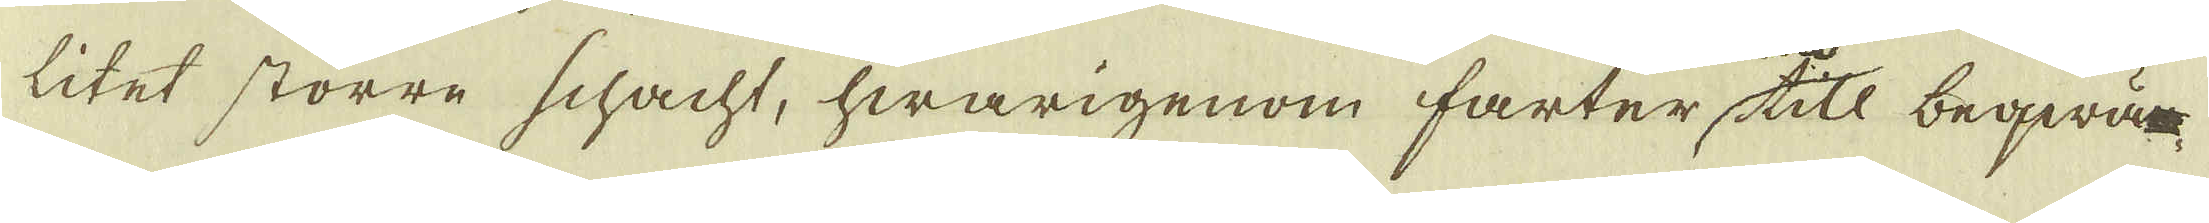litet större schacht, hwarigenom farter till beqwäm
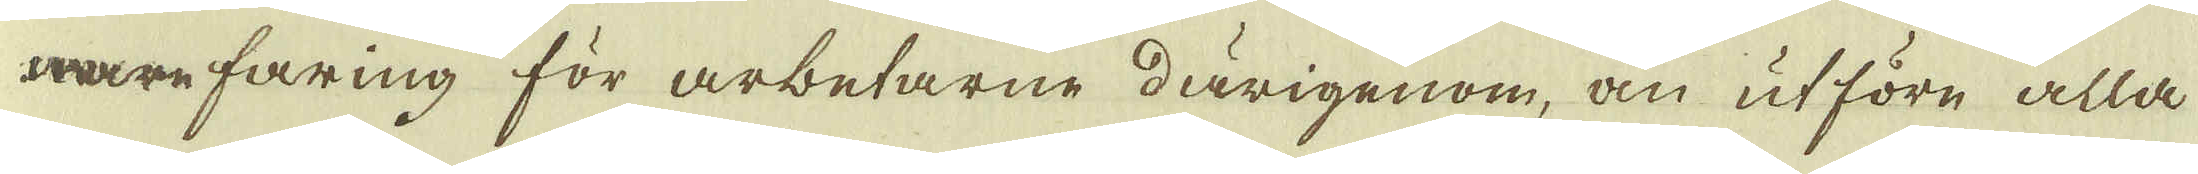mare faring för arbetarne därigenom, än ut före alla
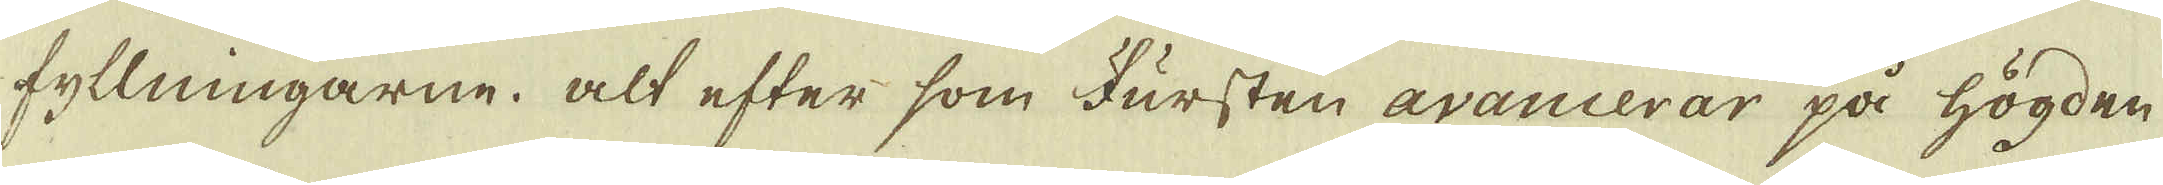fyllningarne. alt efter som Fursten avancerar på högden
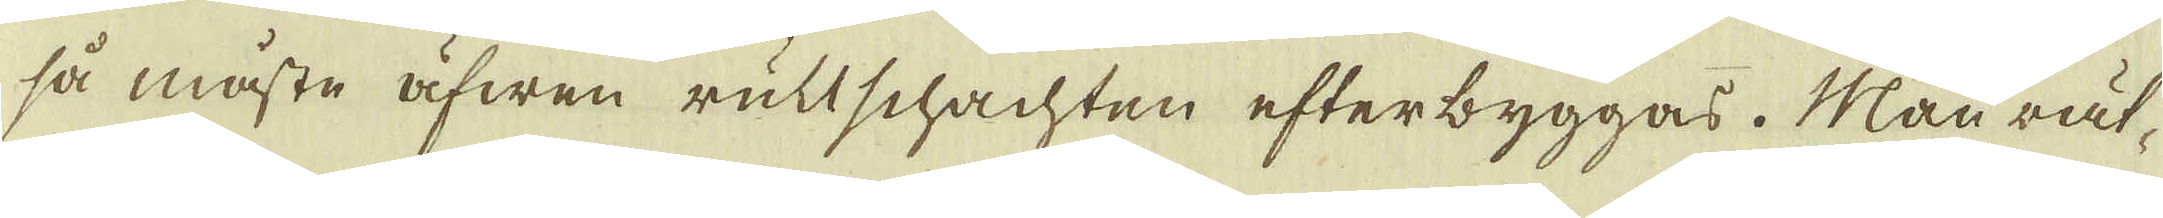så måste äfwen rultschachten efterbyggas. Man rät-
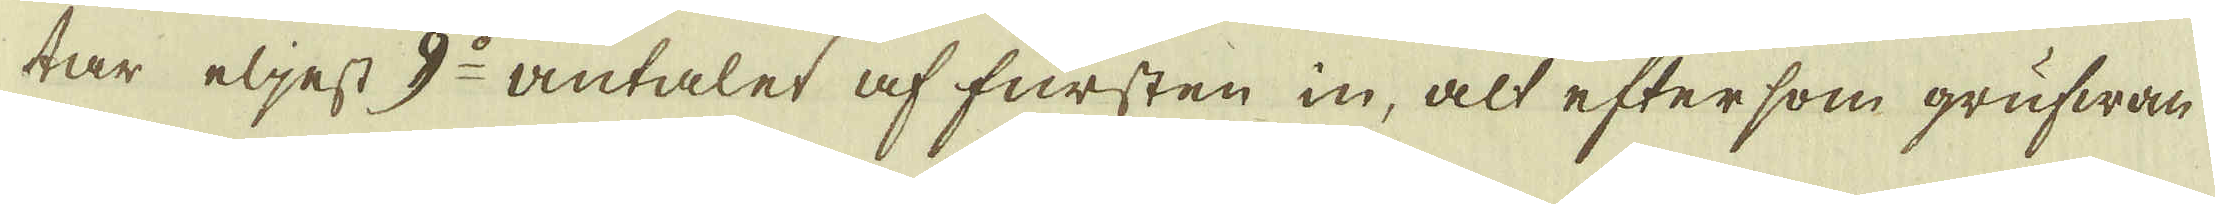tar eljest 9:o antalet af fursten in, alt eftersom grufwan
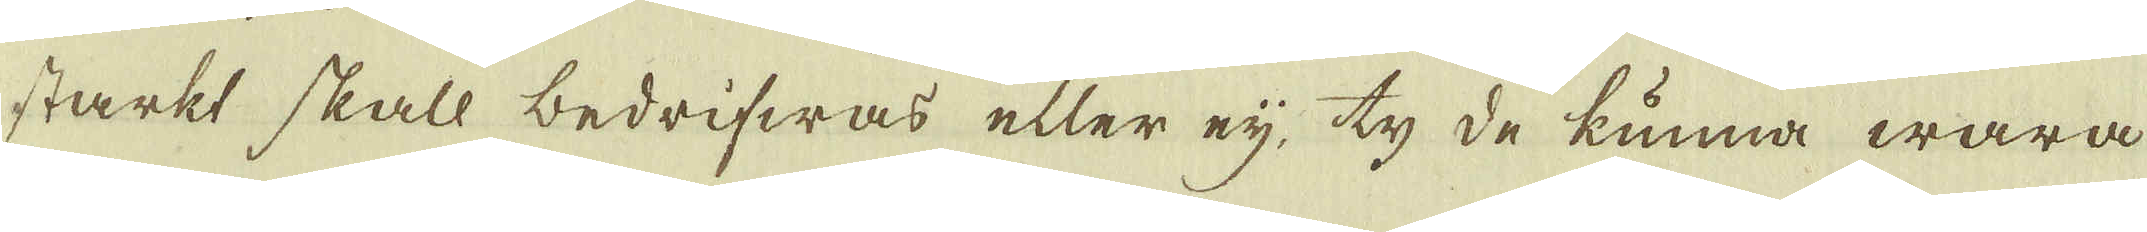starkt skall bedrifwas eller eij, ty de kunna wara
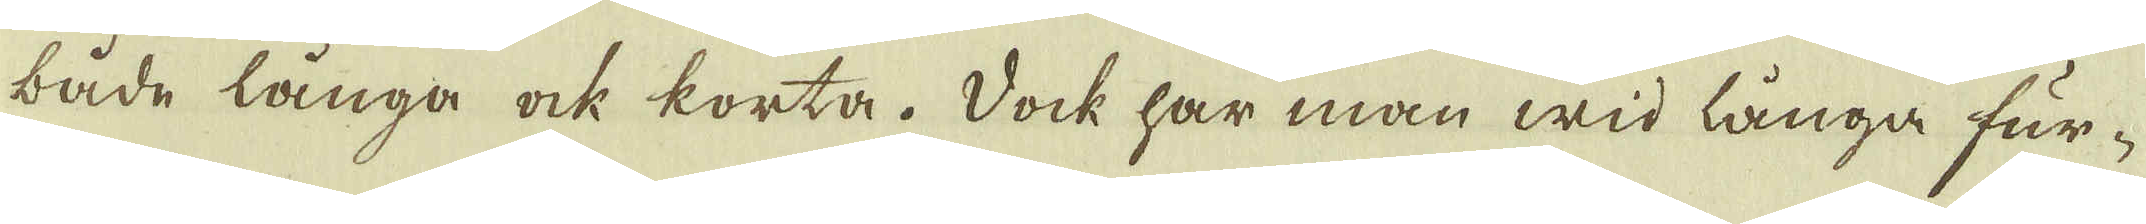både långa ock korta. Dock har man wid långa fur-
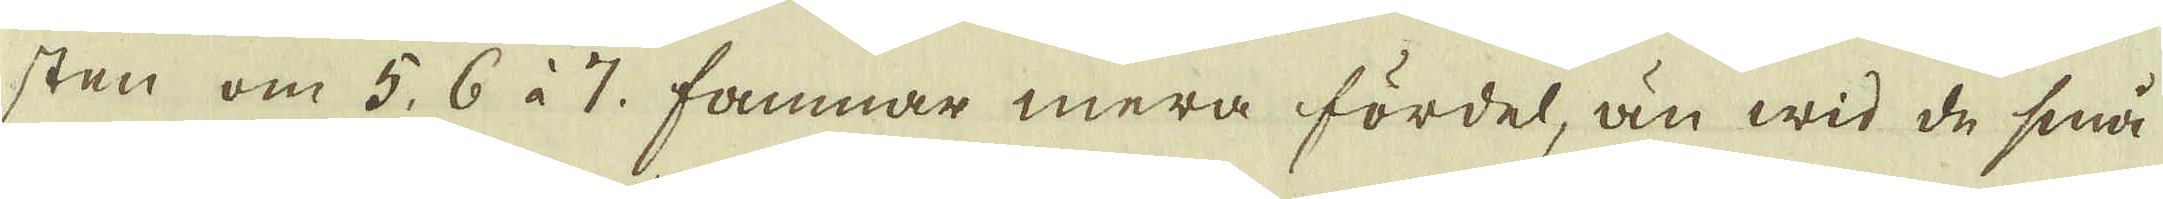sten om 5, 6 à 7. famnar mera fördel, än wid de små
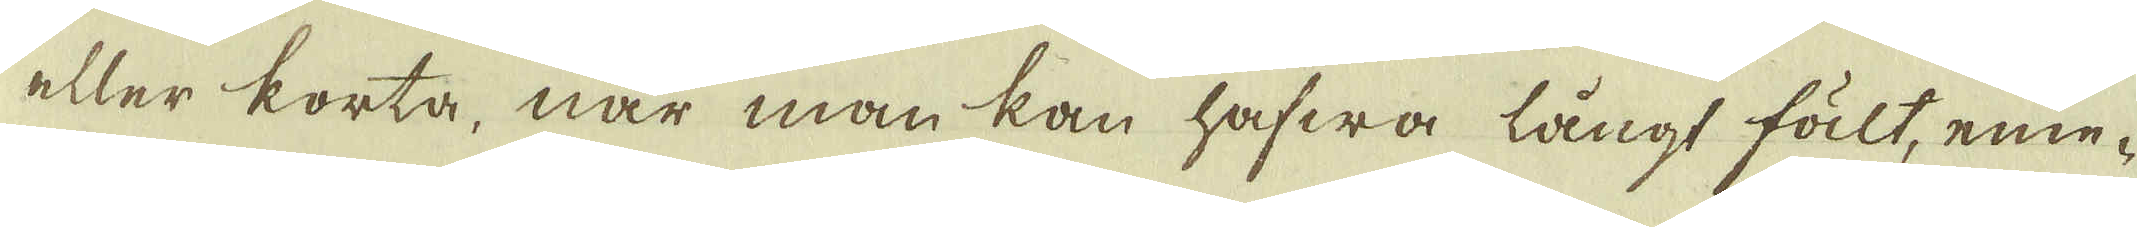eller korta, när man kan hafwa långt fält, eme-
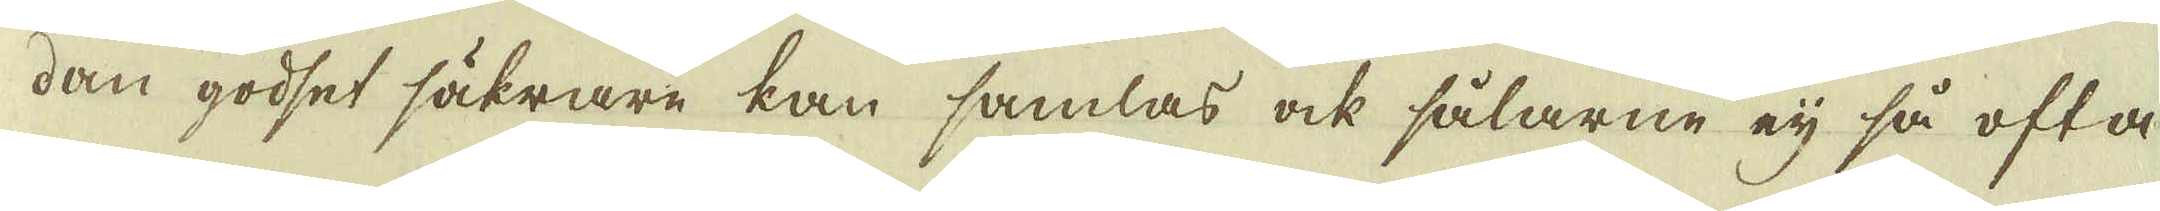dan godset säkrare kan samlas ock sålarne eij så ofta
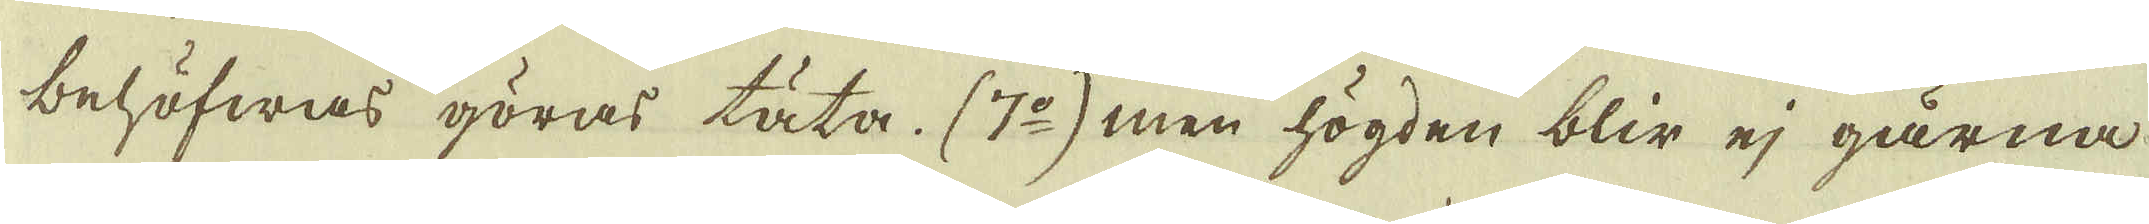behöfwas göras täta. (7:o) men högden blir ej gärna
